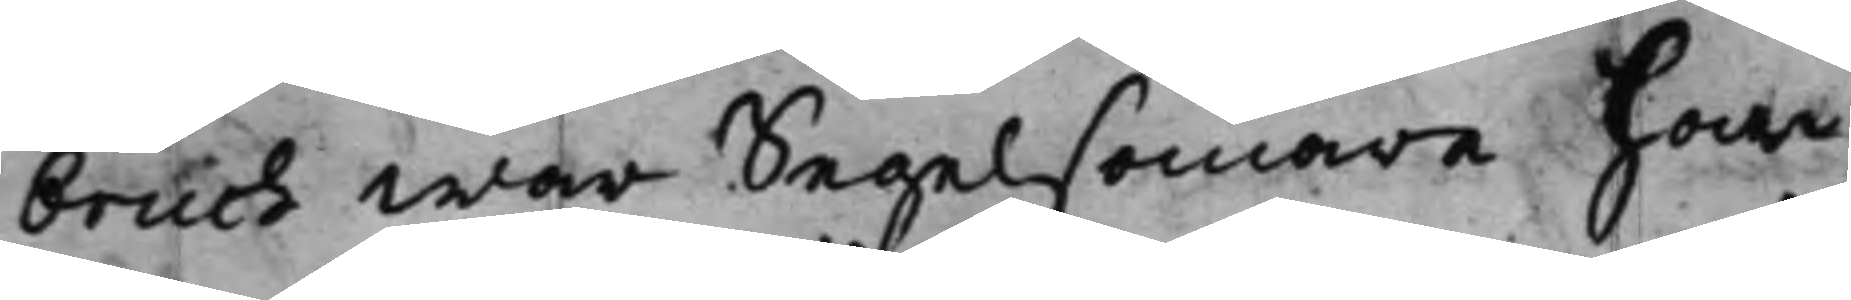bruch war Segelsömare har
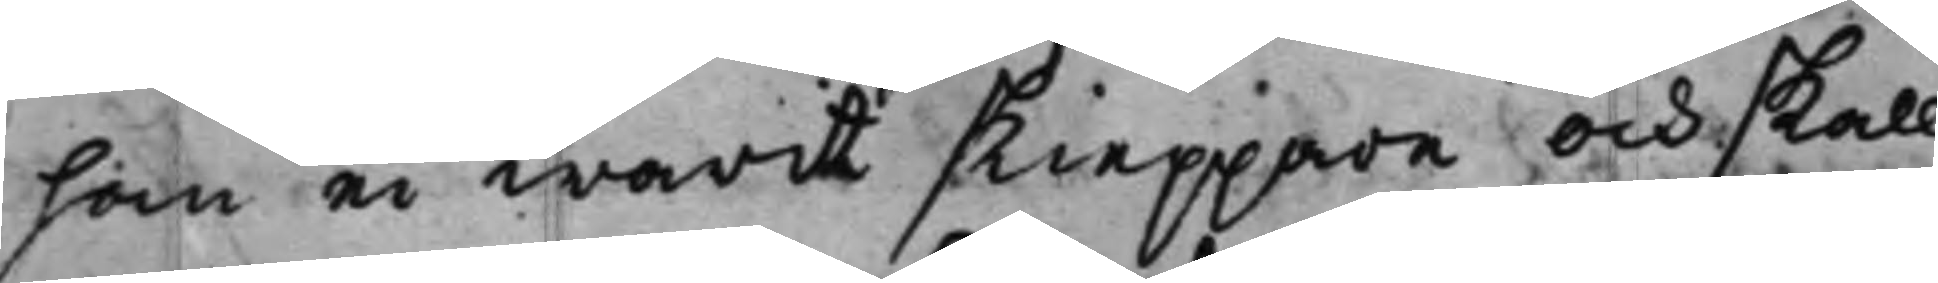han ei warit skieppare och skall
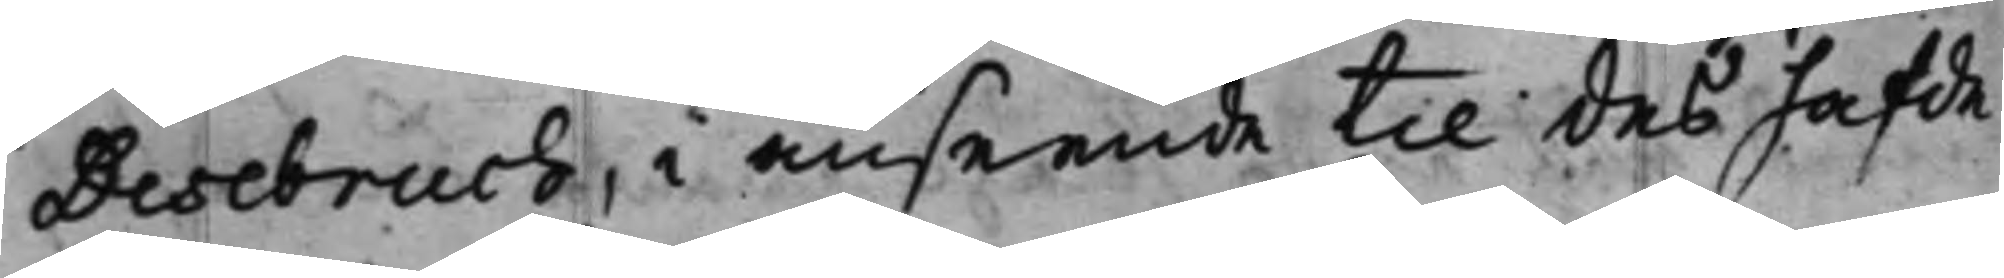Desebruch, i anseende til des hafde
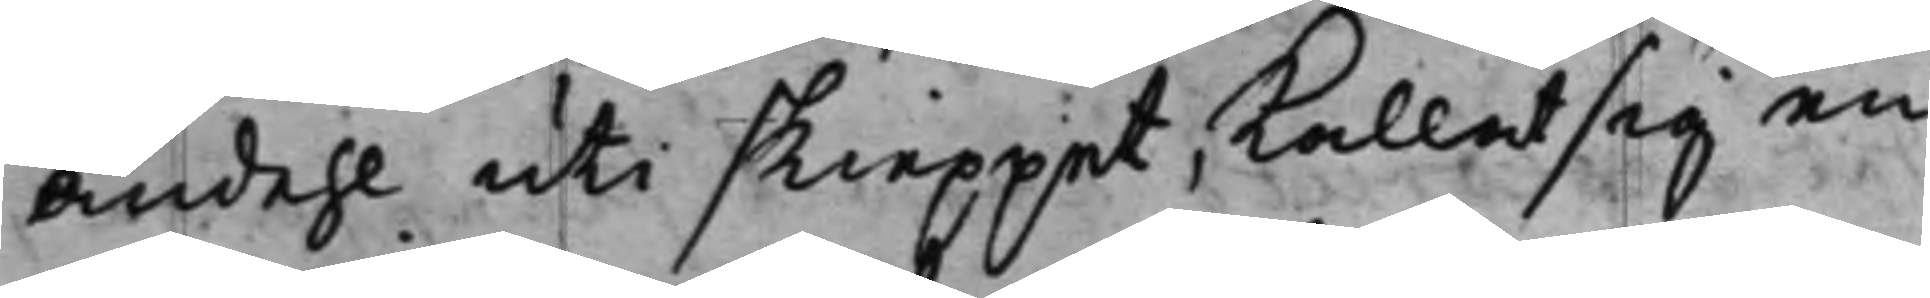andehl uti skieppet, kallat sig en
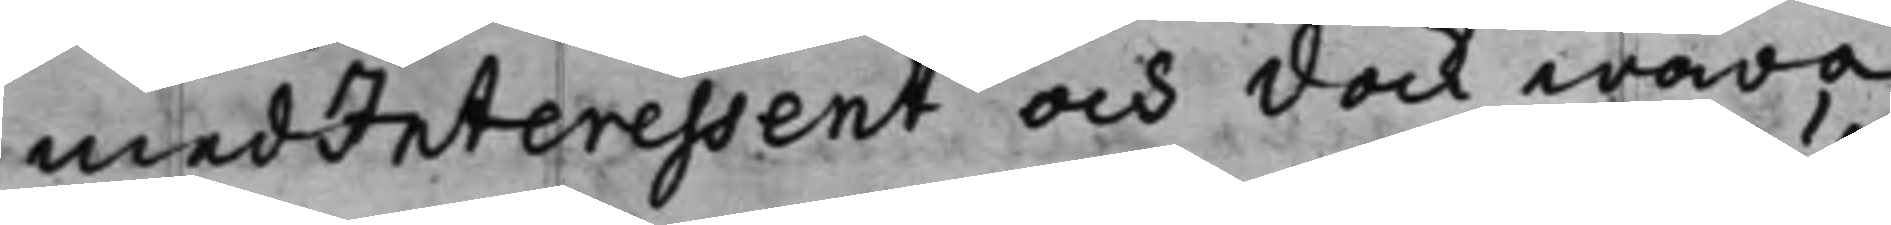medInteressent och dock wara
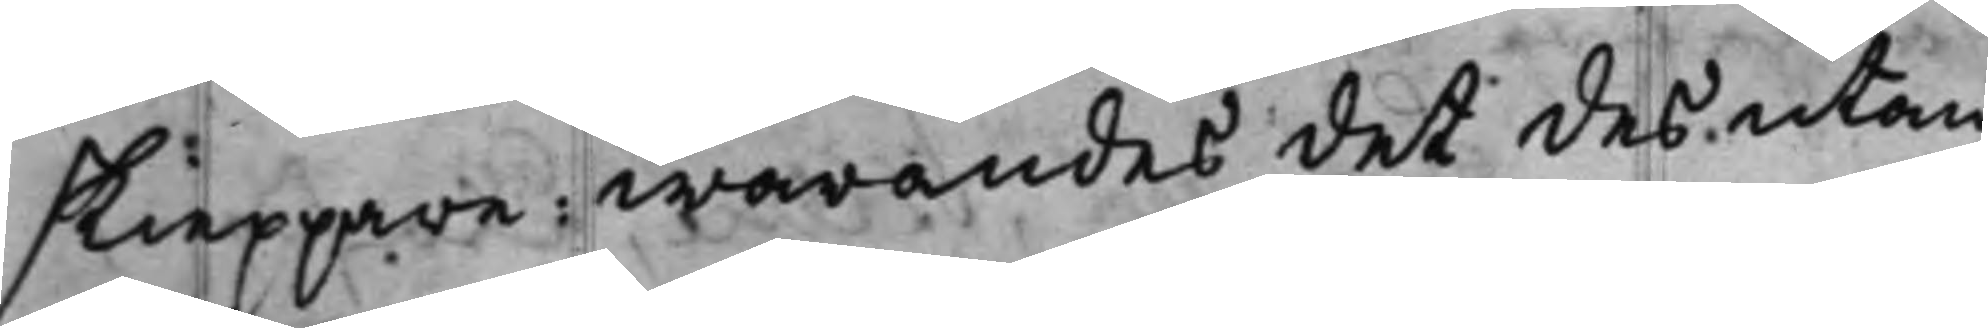skieppare: warandes det des utan
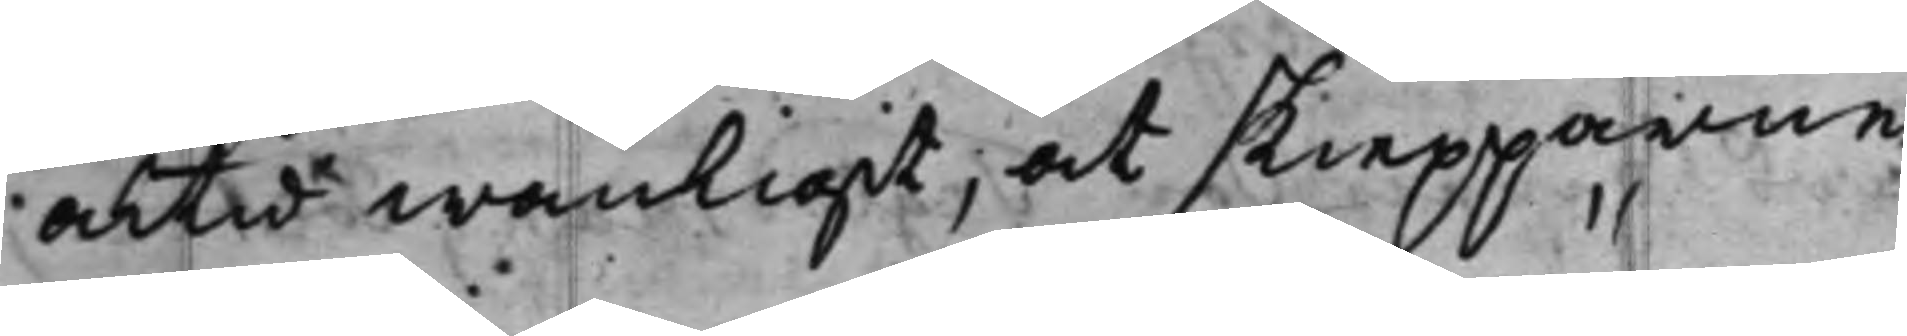altid wanligit, at skiepparne,
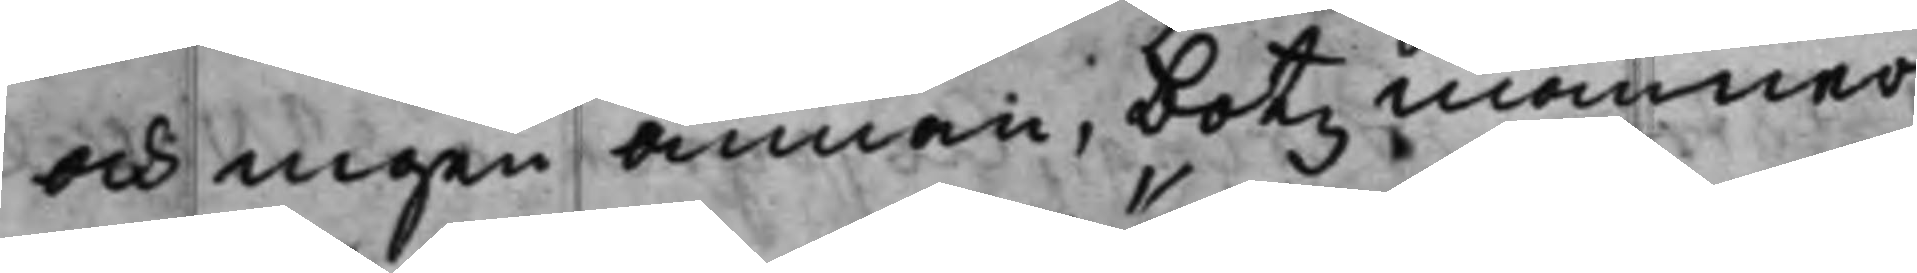och ingen annan, botzmänner¬
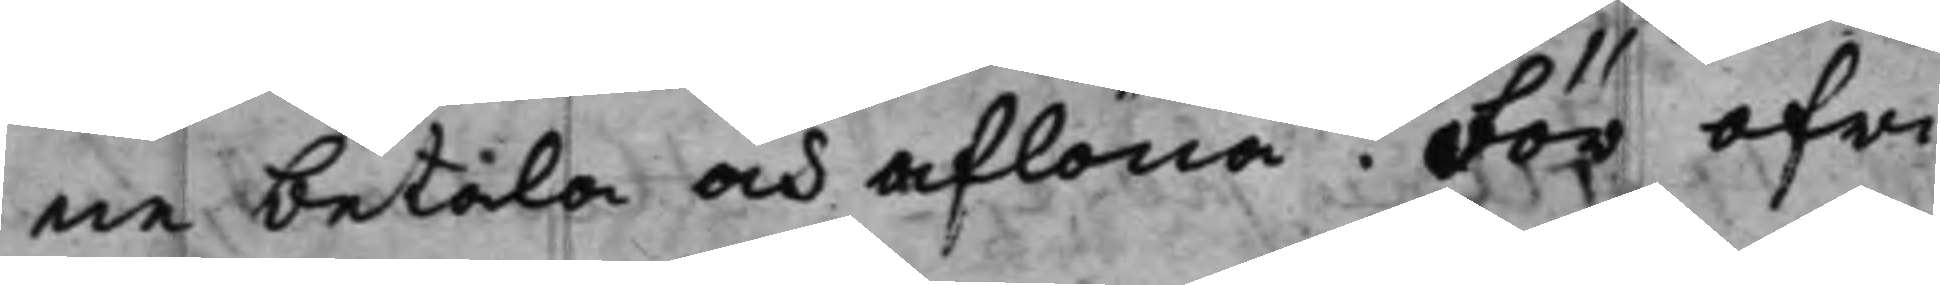ne betala och aflöna. För ofri¬
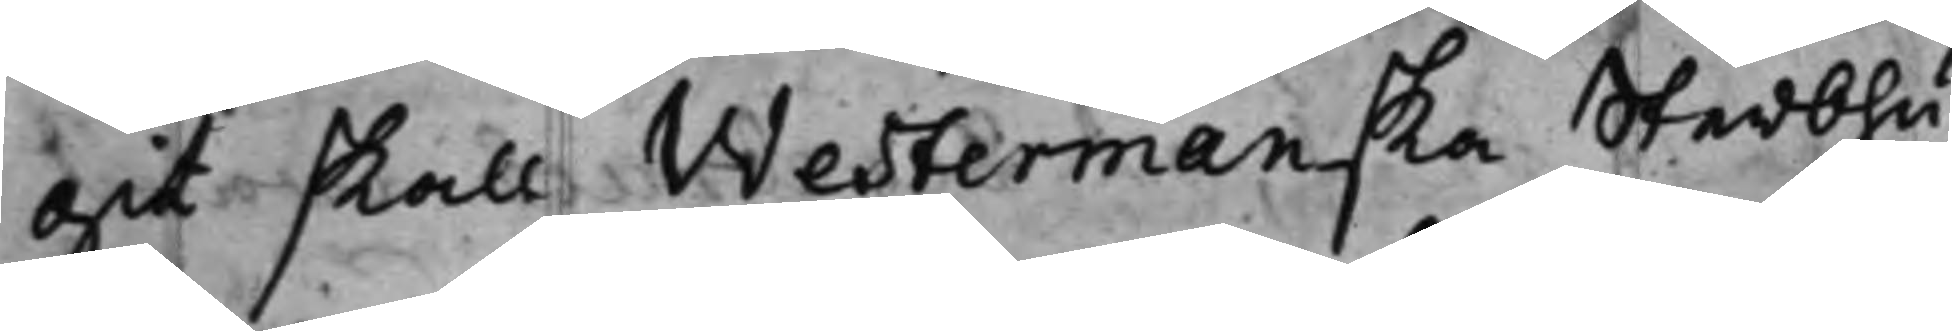git skall Westermanska Sterbhu¬
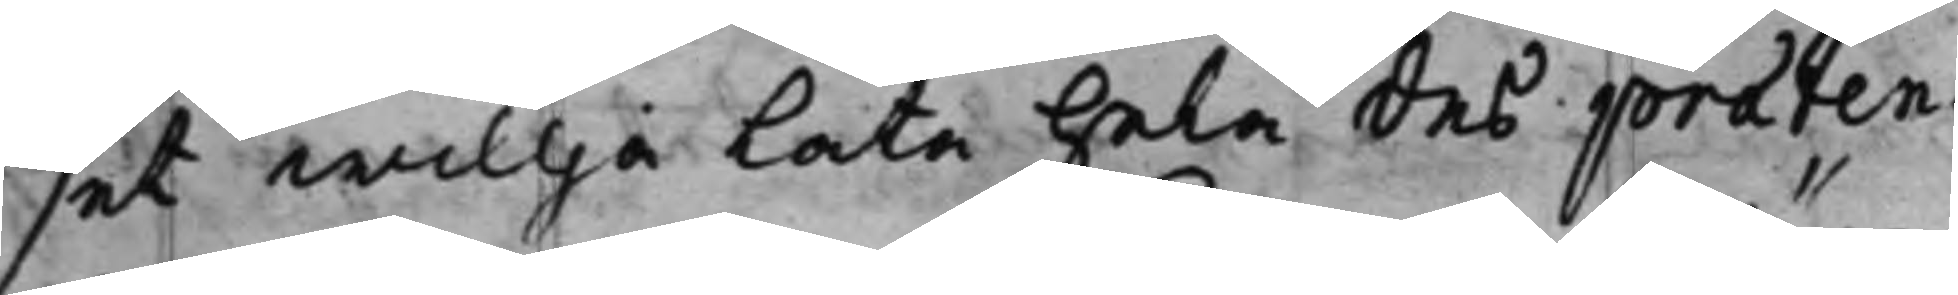set willja låta hela des praeten¬
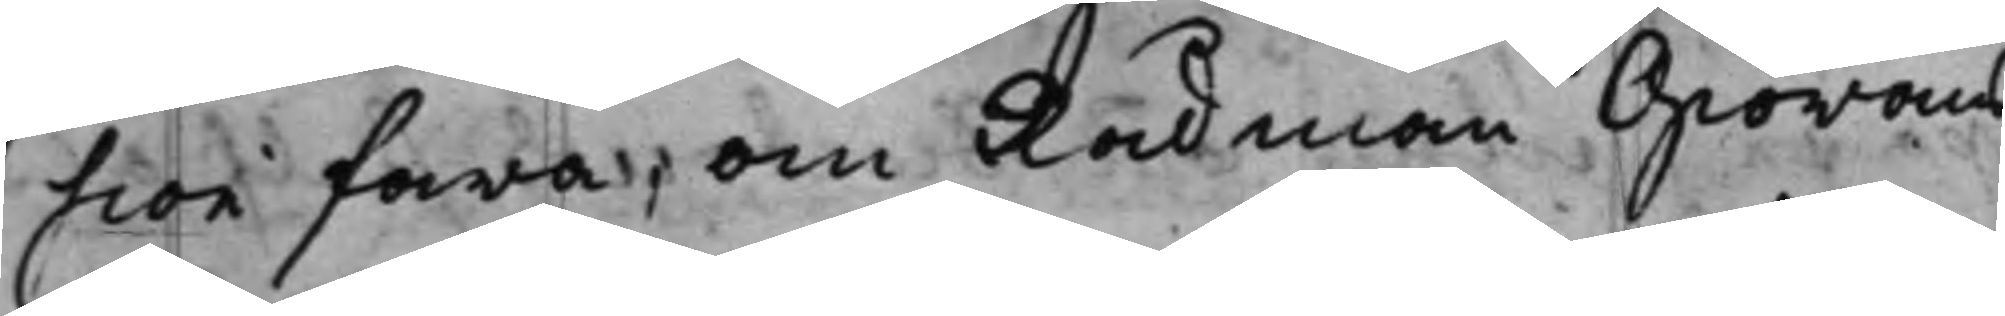sion fara, om Rådman Giörans
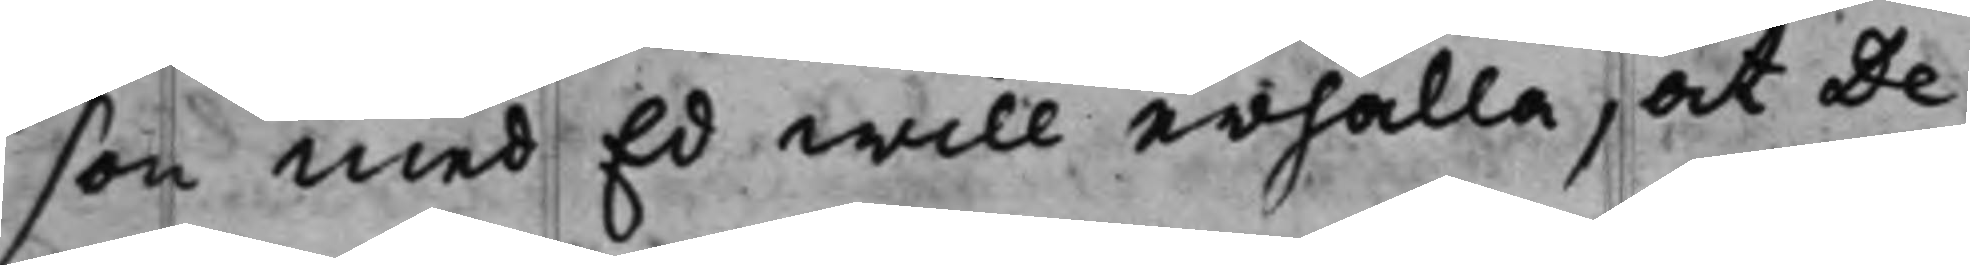son med Ed will erhålla, at De¬
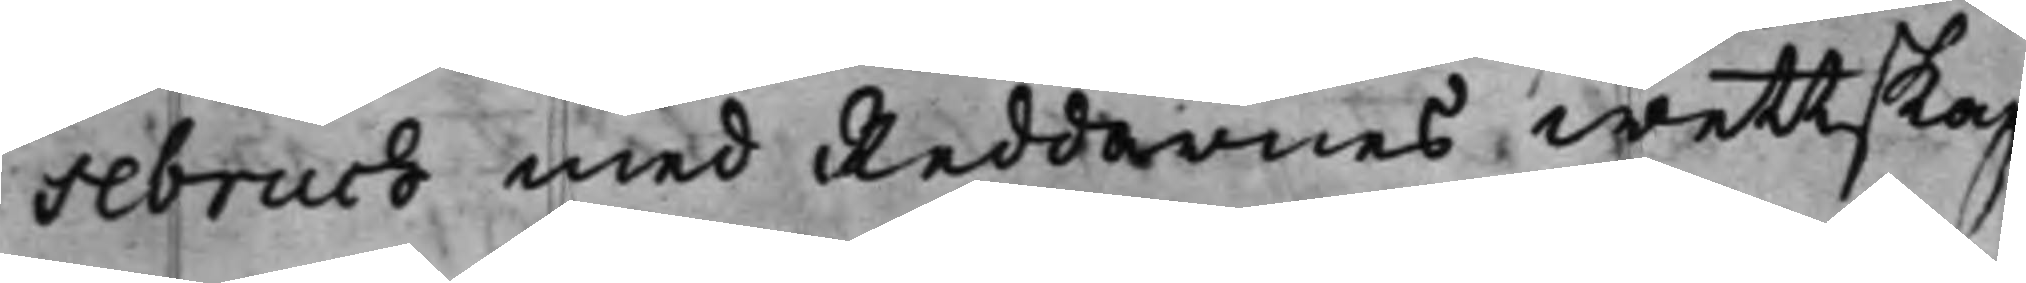sebruch med Reddarnes wettskap
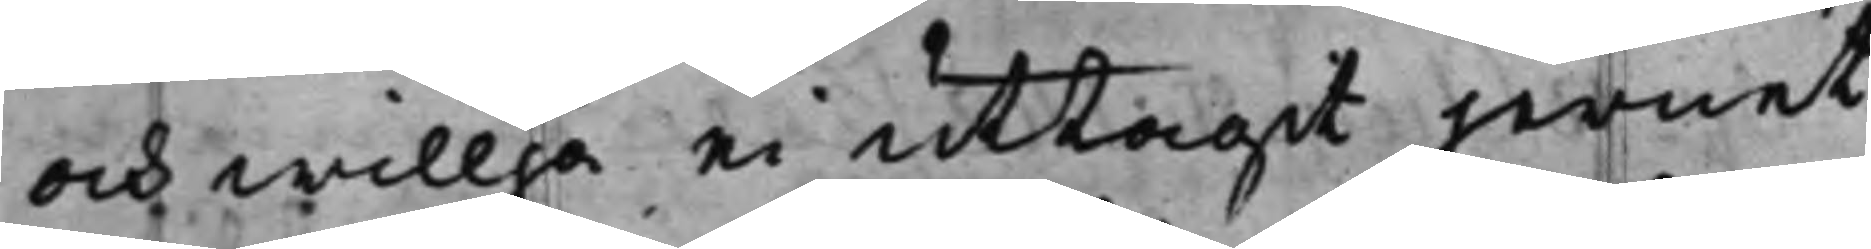och willja ei uttagit jernet
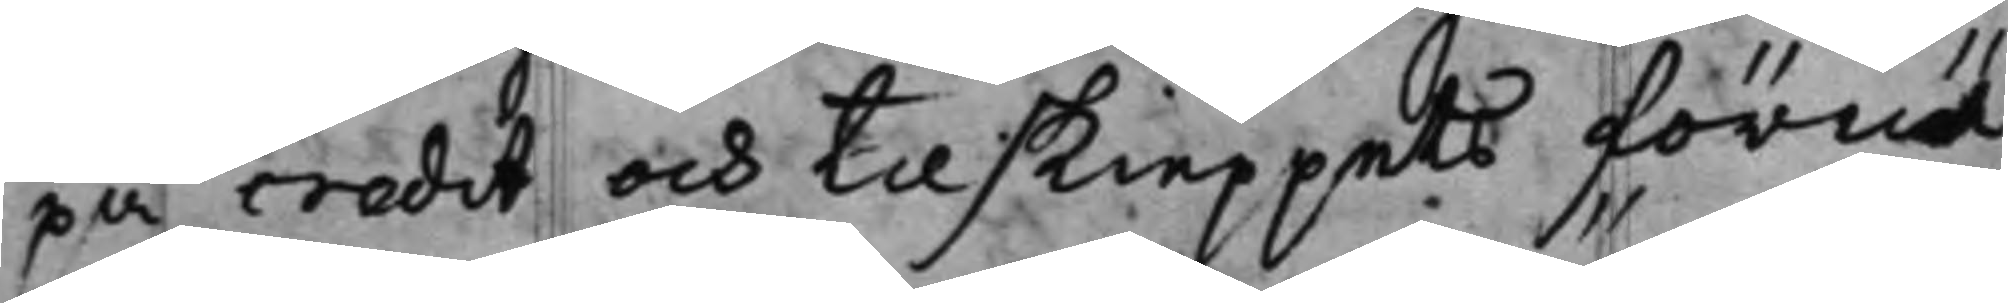på credit, och til skieppets förnö¬
